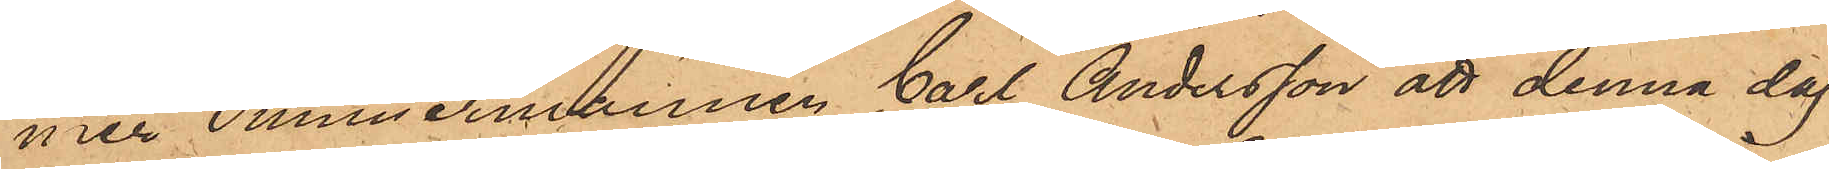mer Timmermannen Carl Andersson att denna dag
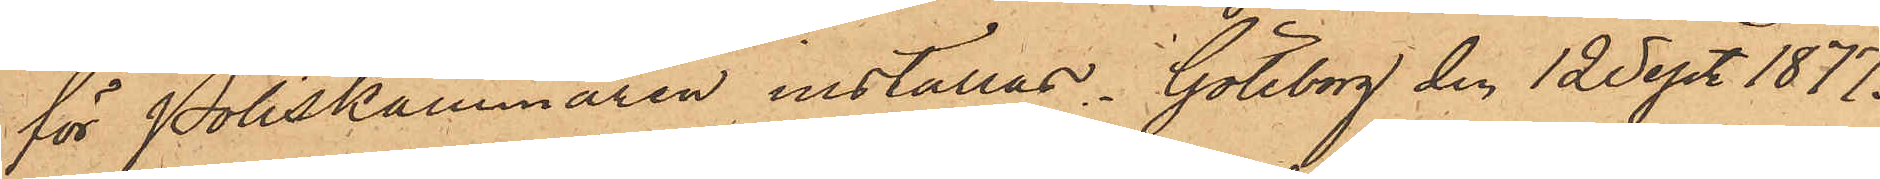för Poliskammaren inställas. Göteborg den 12 Sept. 1877.
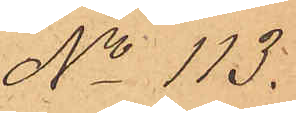No 113.
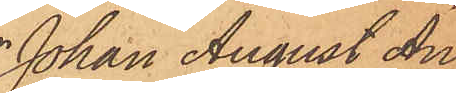Johan August An¬
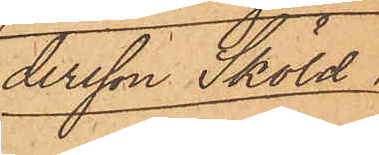dersson Sköld.
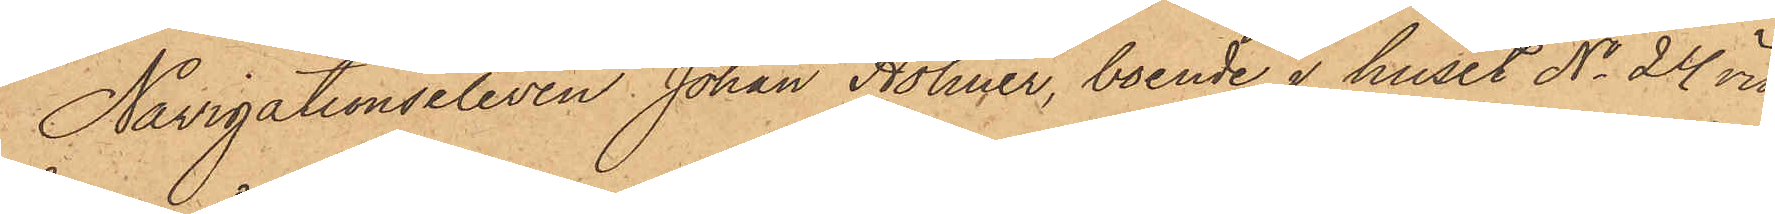Navigationseleven Johan Holmer, boende i huset No 24 vid
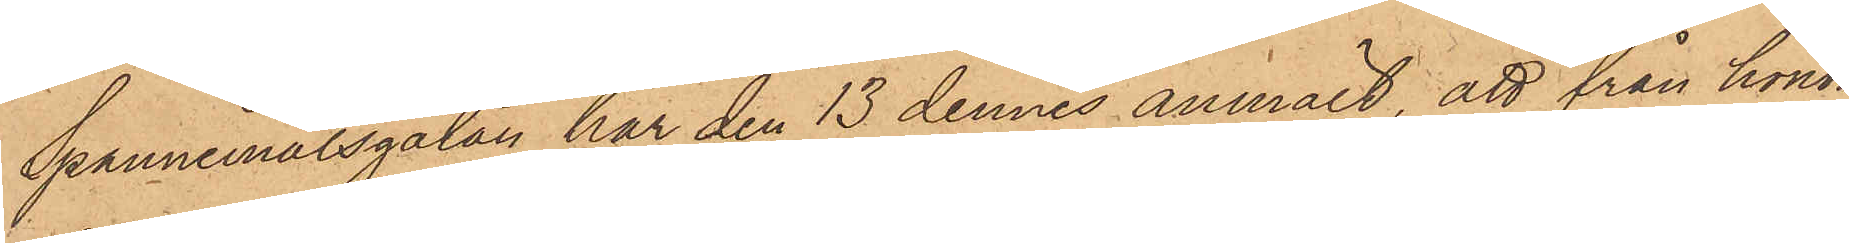Spannmålsgatan har den 13 dennes anmält, att från honom
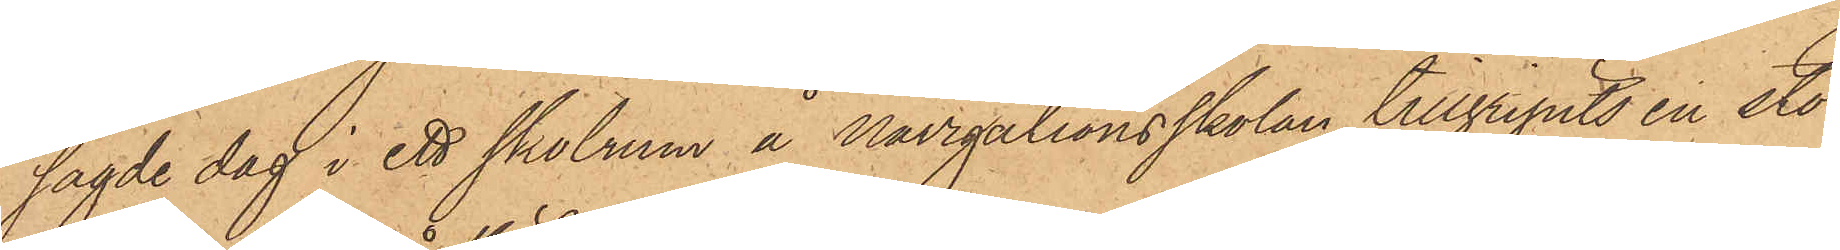sagde dag i ett skolrum å Navigationsskolan tillgripits en stor¬
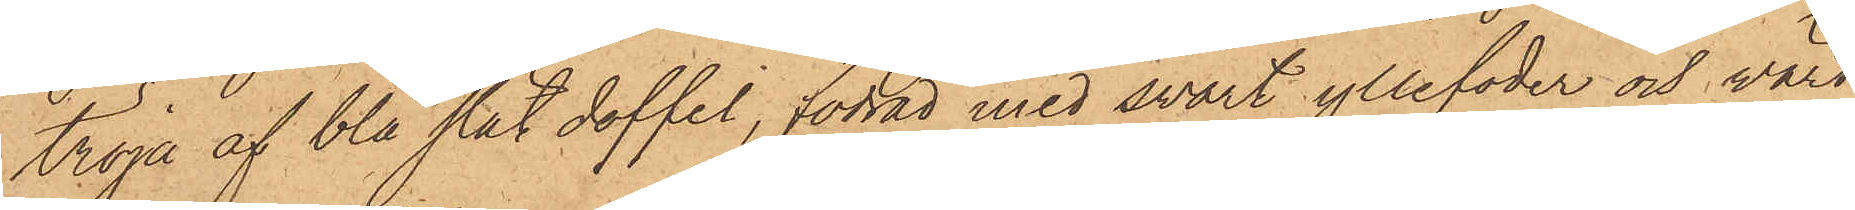tröja af blå slät doffel, fodrad med svart yllefoder och värd
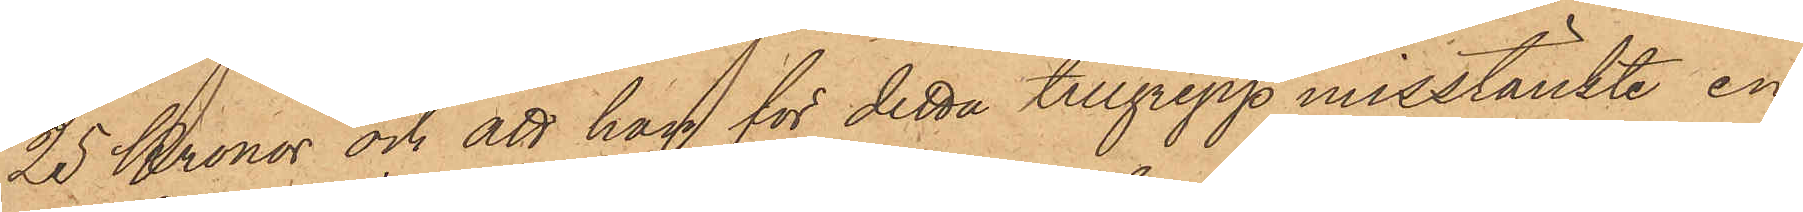25 Kronor och att han för detta tillgrepp misstänkte en
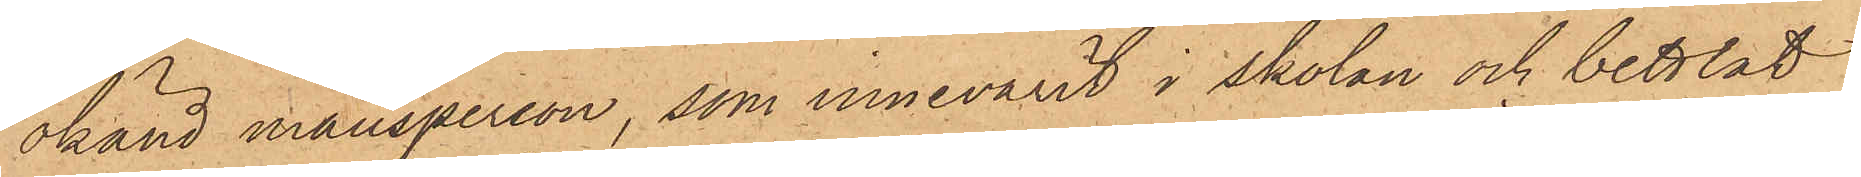okänd mansperson, som innevarit i skolan och bettlat
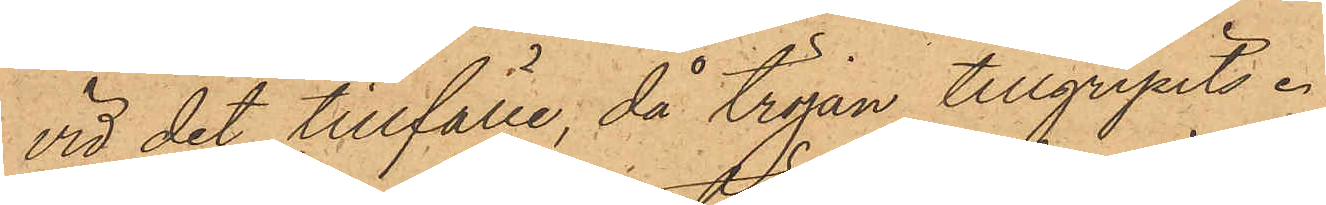vid det tillfälle, då tröjan tillgripits.
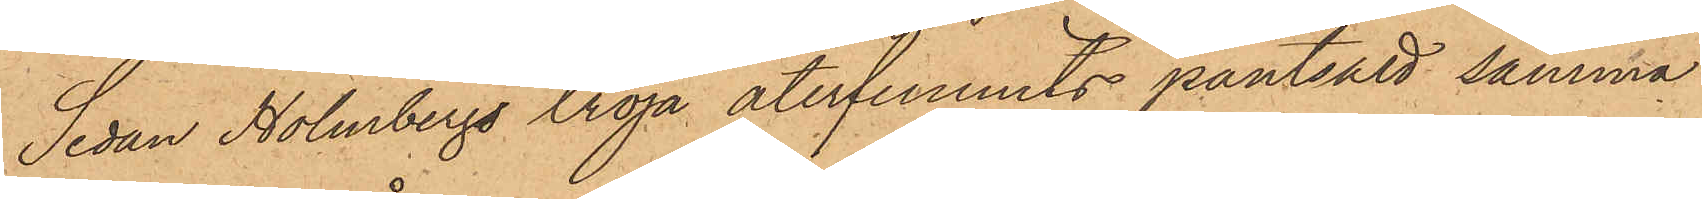Sedan Holmbergs tröja återfunnits pantsatt samma
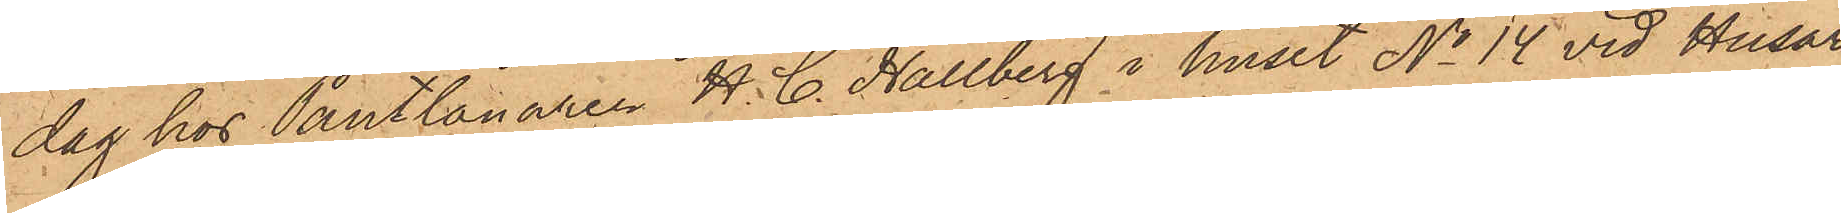dag hos Pantlånaren H. C. Hallberg i huset No 14 vid Husar¬
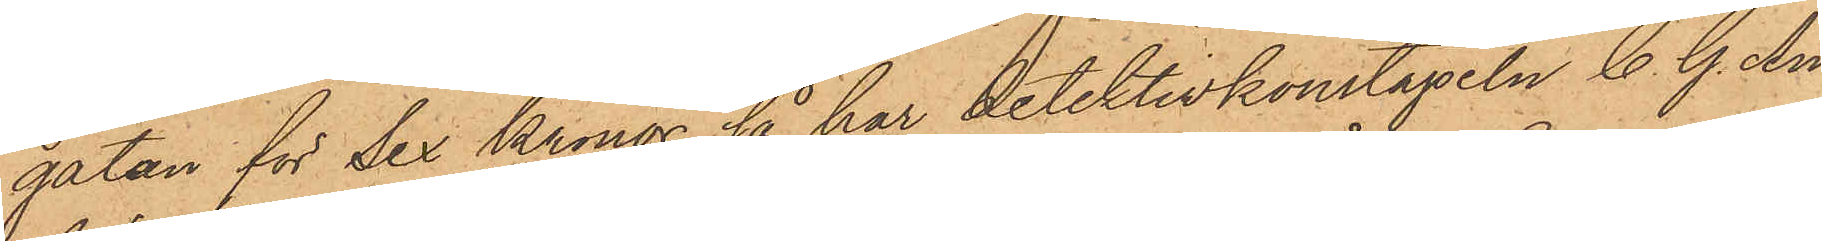gatan för Sex Kronor, så har detektivkonstapeln C. G. An¬
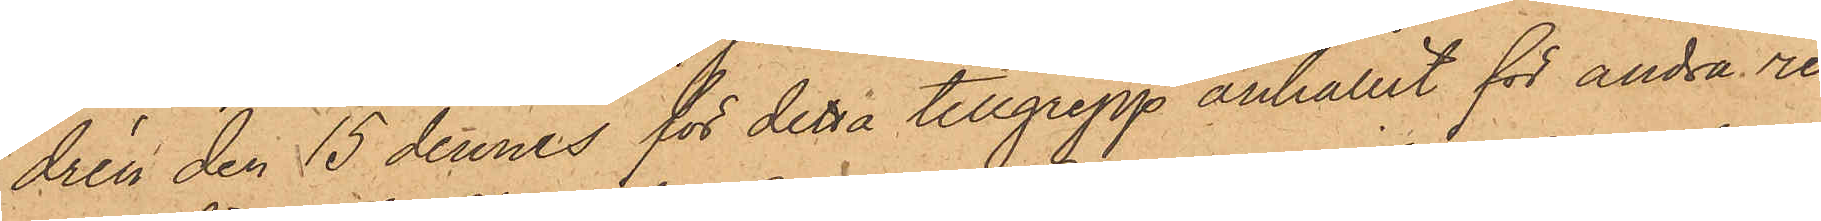drén den 15 dennes för detta tillgrepp anhållit för andra re¬
